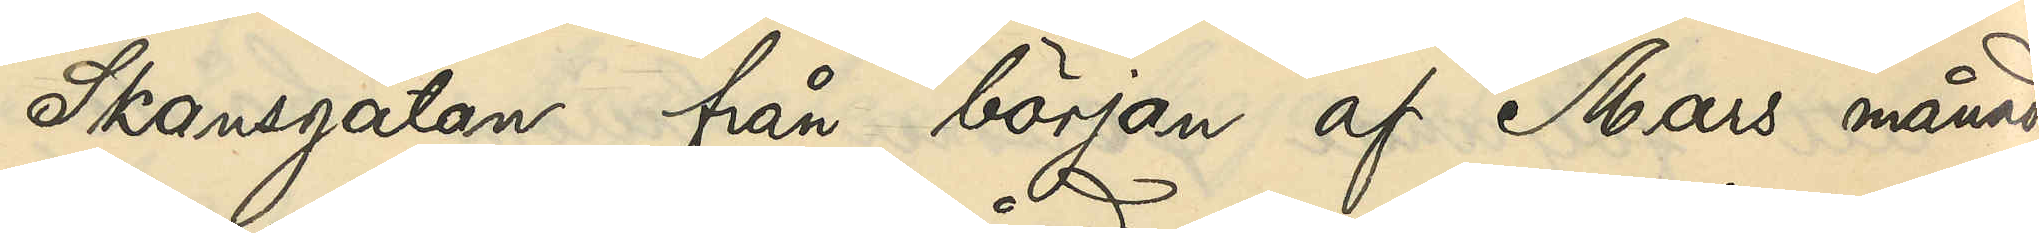Skansgatan från början af Mars månad
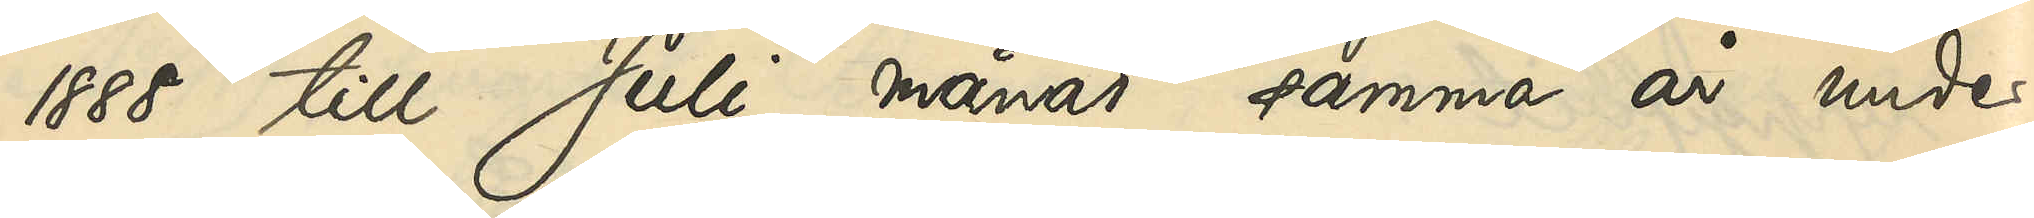1888 till Juli månad samma år under
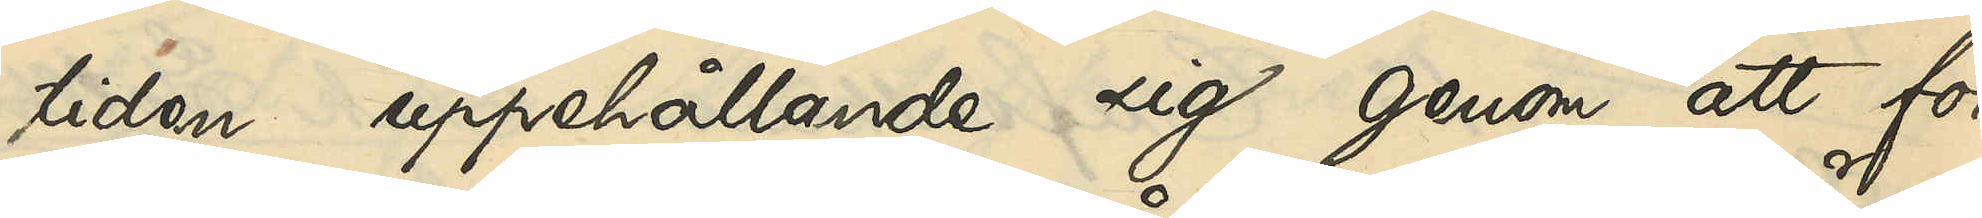tiden uppehållande sig genom att för
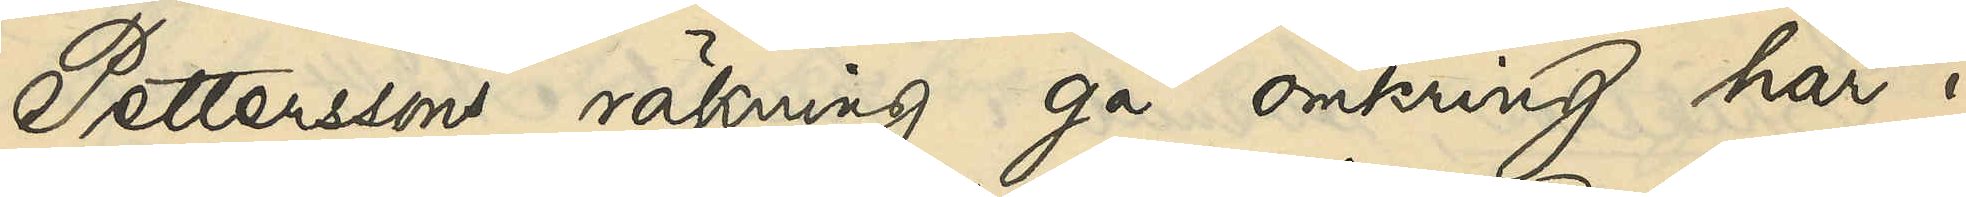Petterssons räkning gå omkring här i
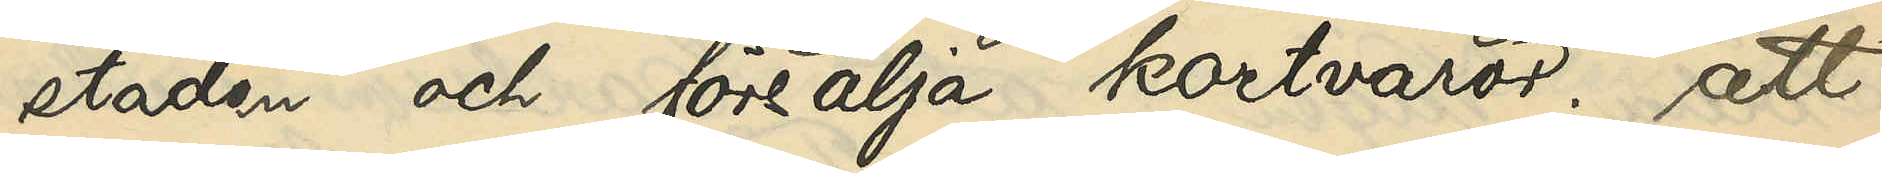staden och försälja kortvaror; att
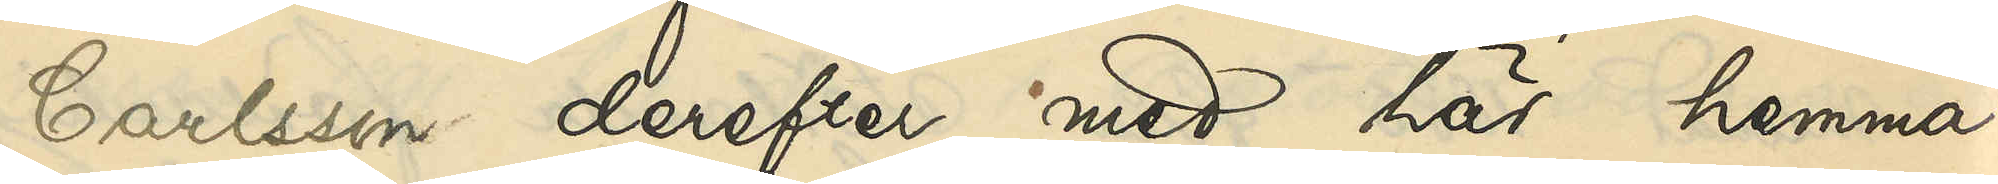Carlsson derefter med här hemma¬
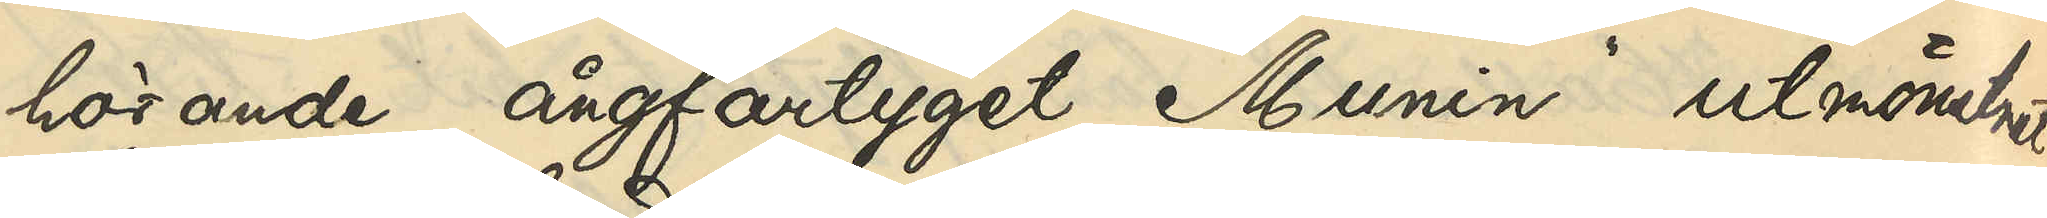hörande ångfartyget "Munin" utmönstrat
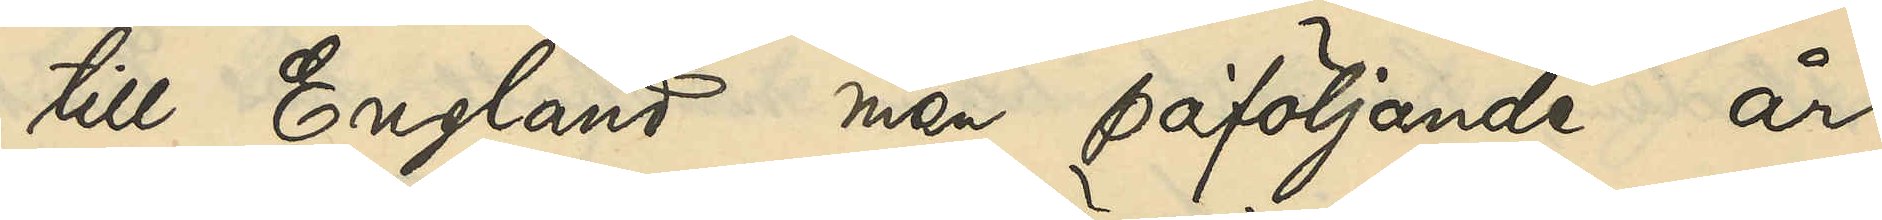till England men påföljande år
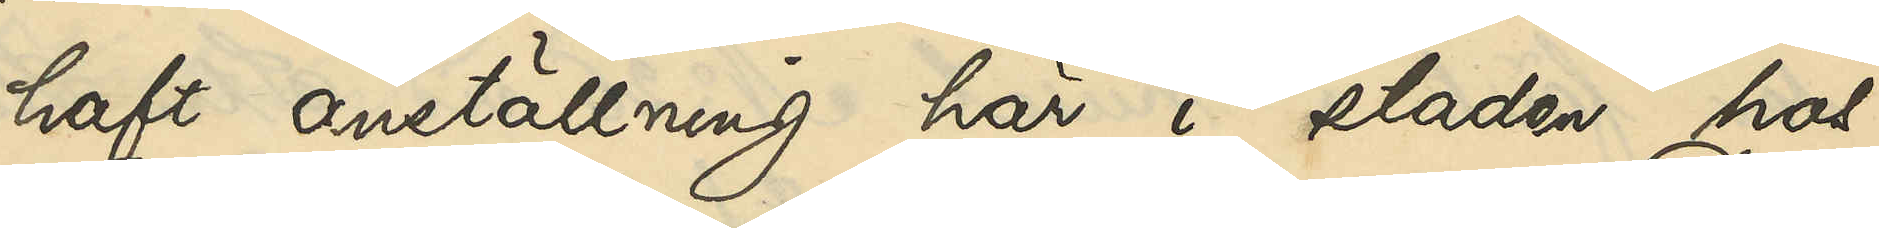haft anställning här i staden hos
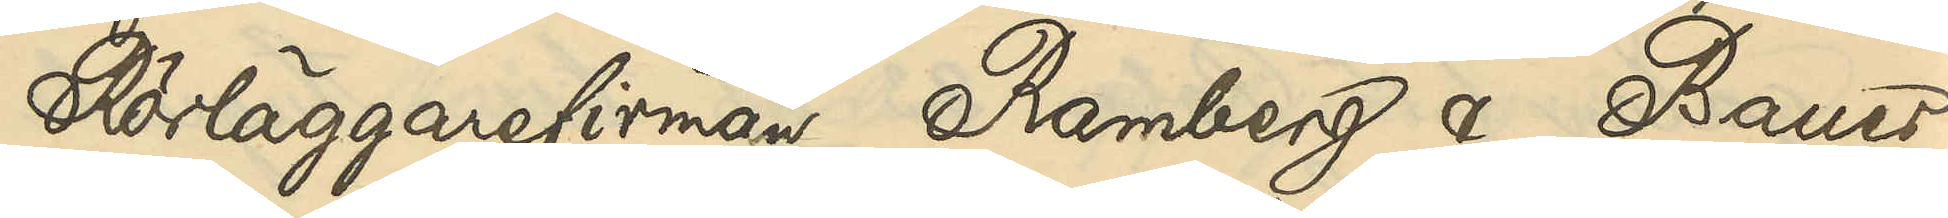Rörläggningsfirman Ramberg & Bauer;
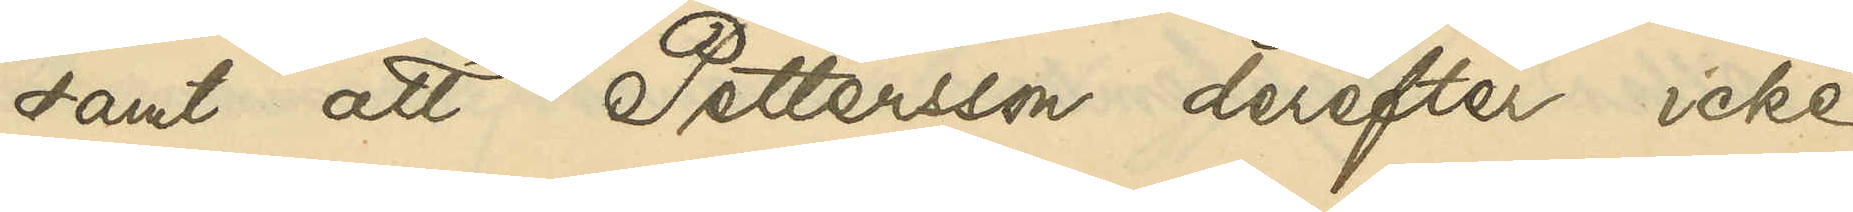samt att Pettersson derefter icke
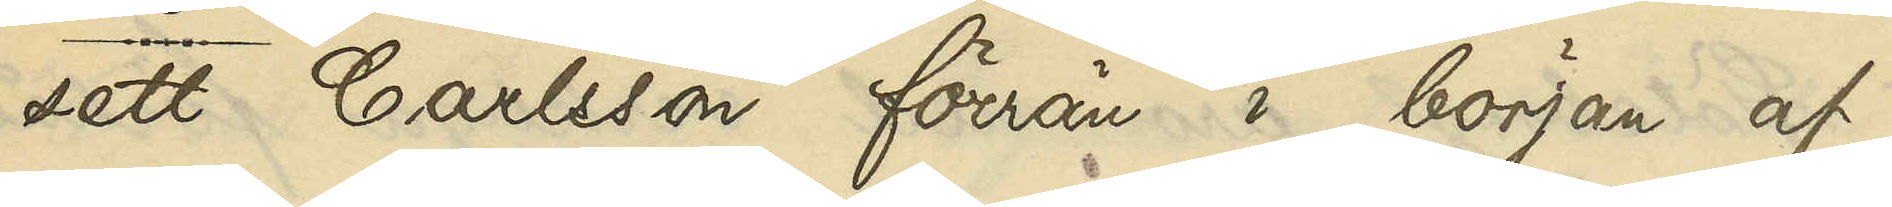sett Carlsson förrän i början af
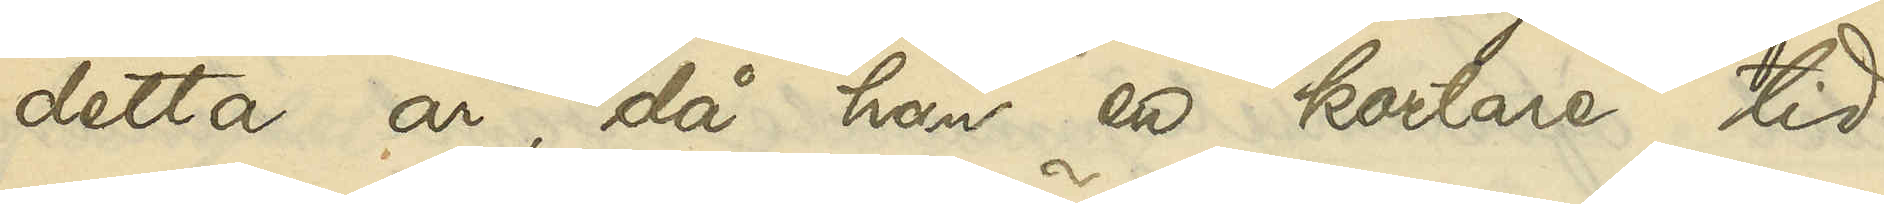detta år, då han en kortare tid
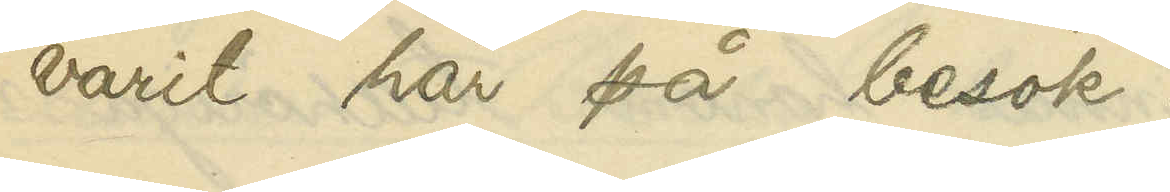varit här på besök.
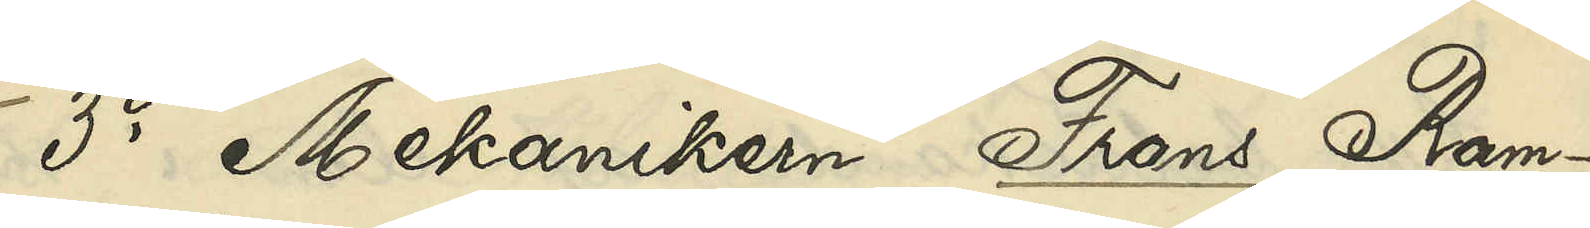3o Mekanikern Frans Ram¬
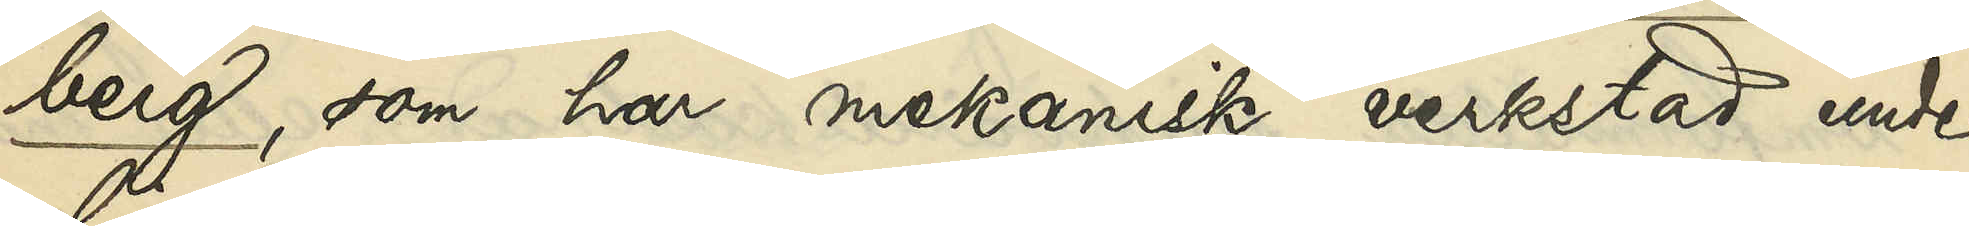berg, som har mekanisk verkstad under
